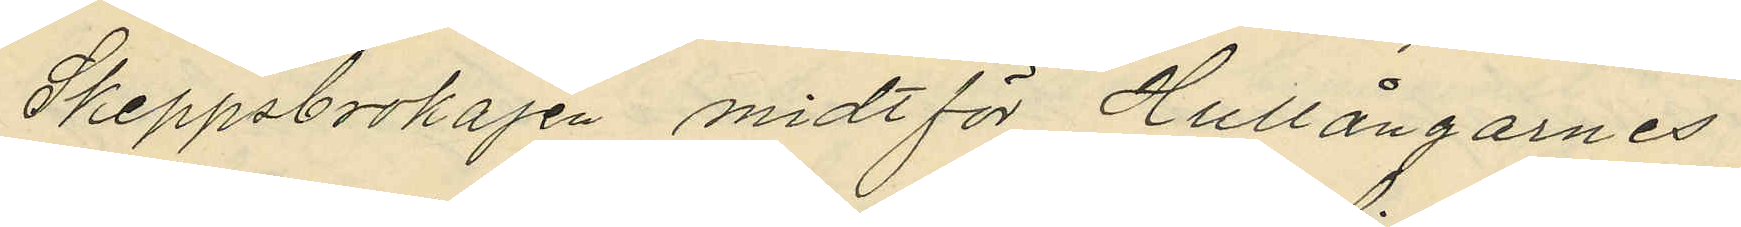Skeppsbrokajen midt för Hullångarnes
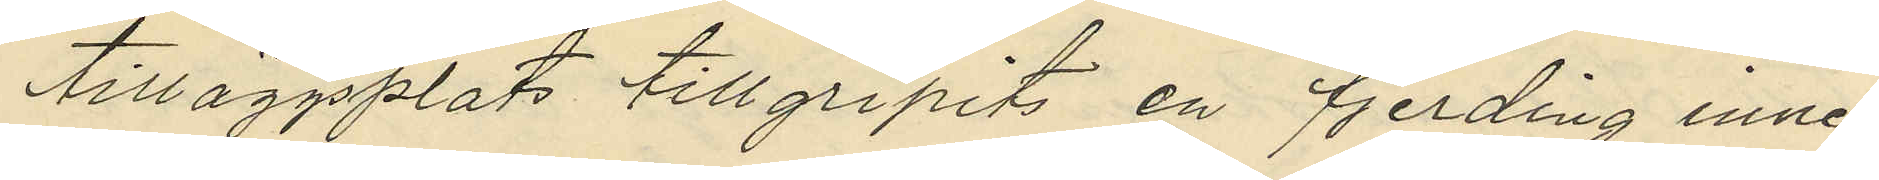tilläggsplats tillgripits en fjerding inne¬
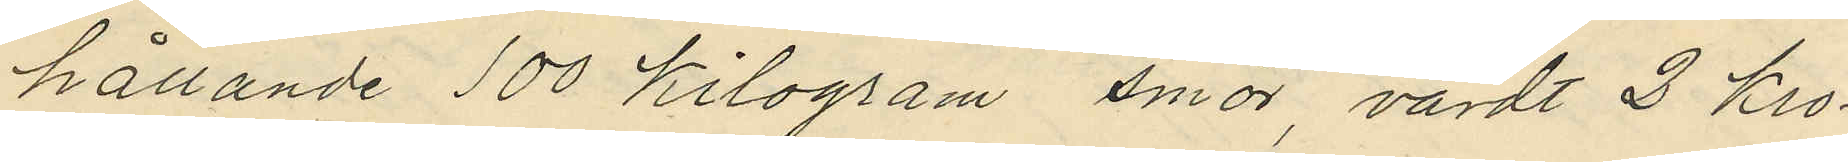hållande 100 Kilogram smör, värdt 2 kro¬
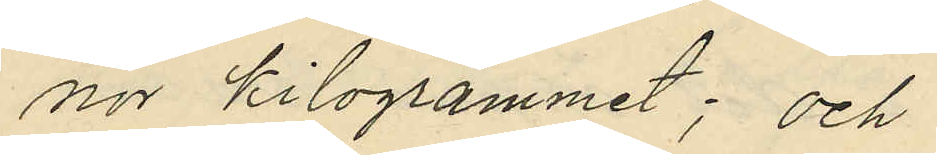nor kilogrammet; och
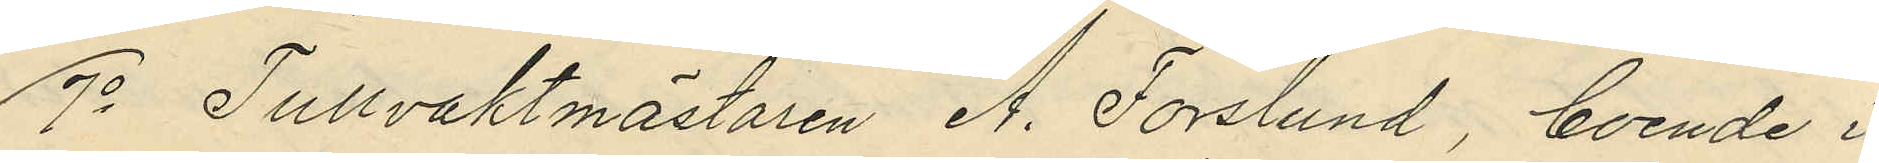7o Tullvaktmästaren A. Forslund, boende i
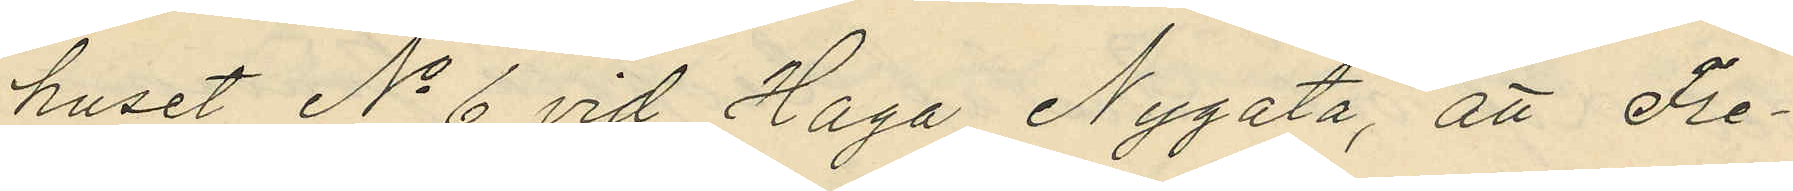huset No 6 vid Haga Nygata, att Fre¬
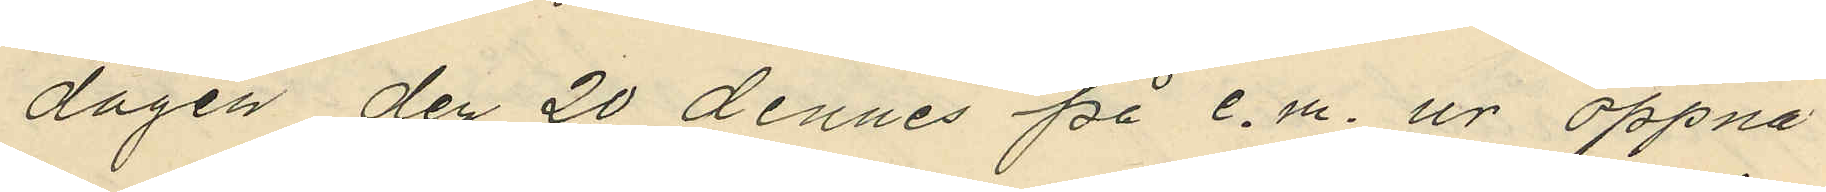dagen den 20 dennes på e.m. ur öppna
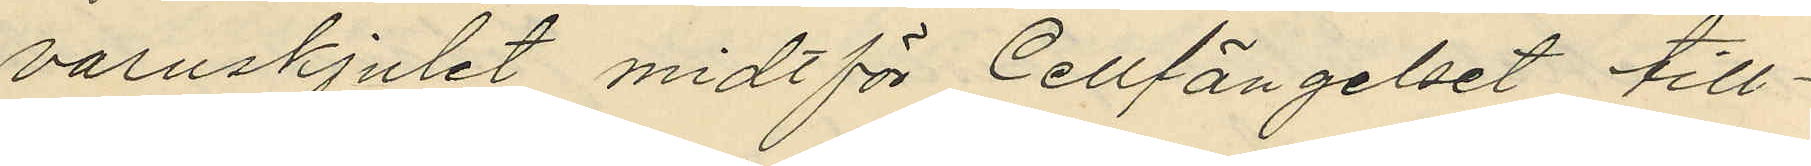varuskjulet midtför Cellfängelset till¬
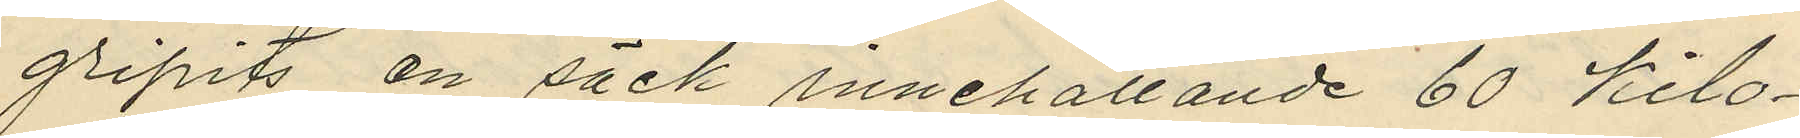gripits en säck innehållande 60 kilo¬
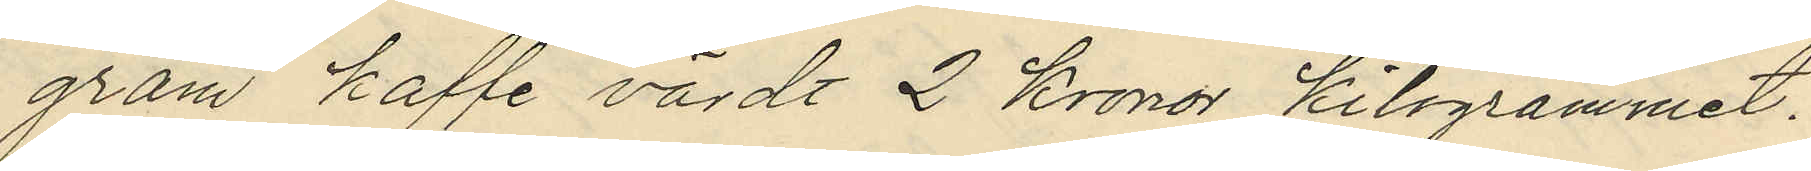gram kaffe värdt 2 Kronor kilogrammet.
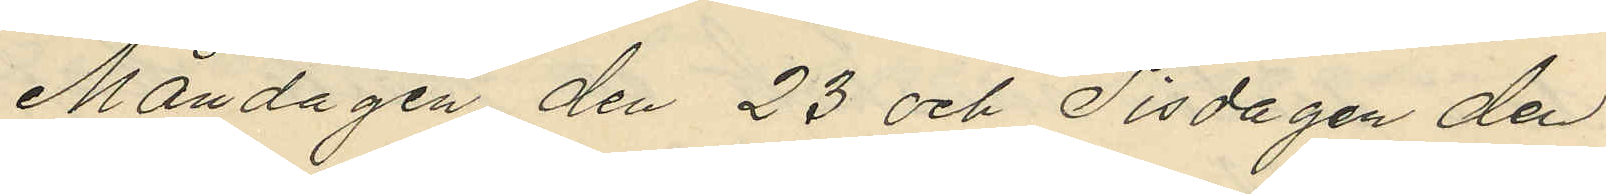Måndagen den 23 och Tisdagen den
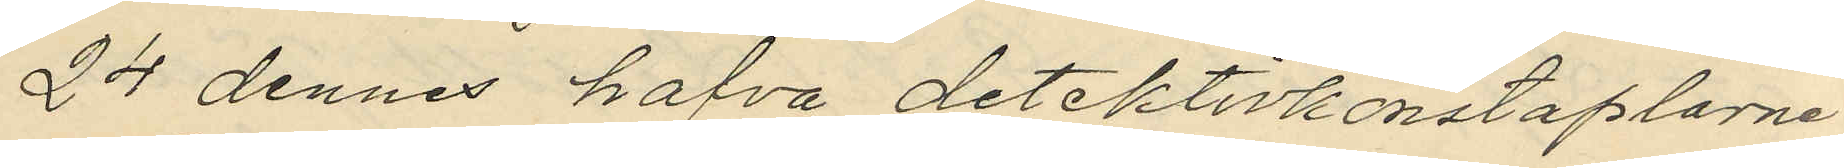24 dennes hafva detektivkonstaplarne
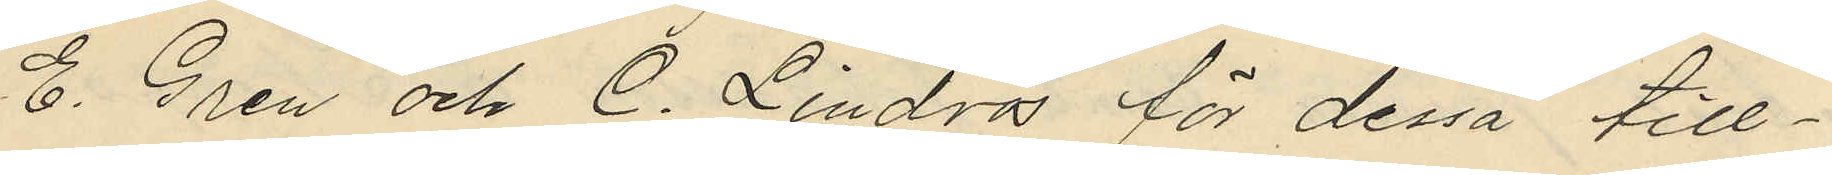C. Gren och C. Lindros för dessa till¬
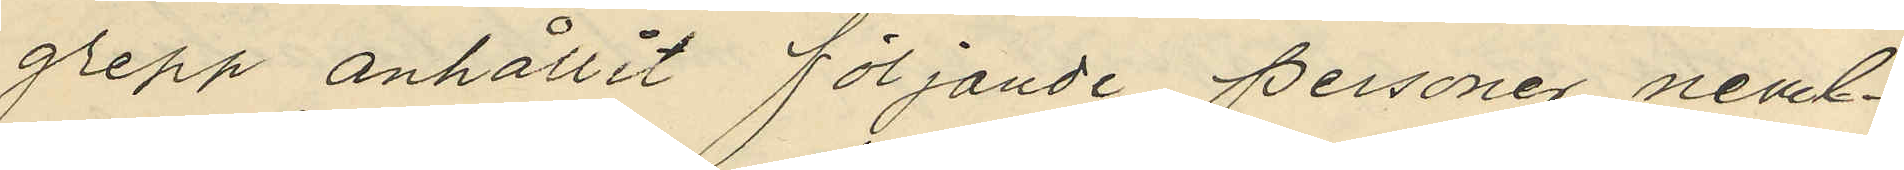grepp anhållit följande personer neml. :
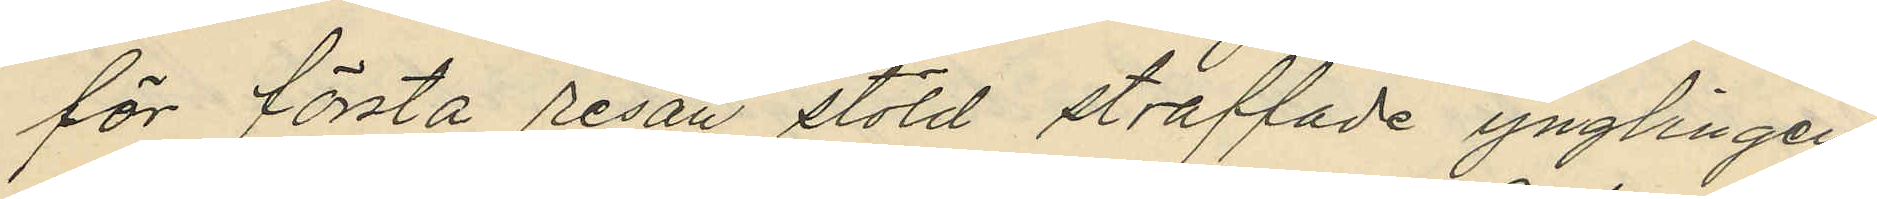för första resan stöld straffade ynglingen
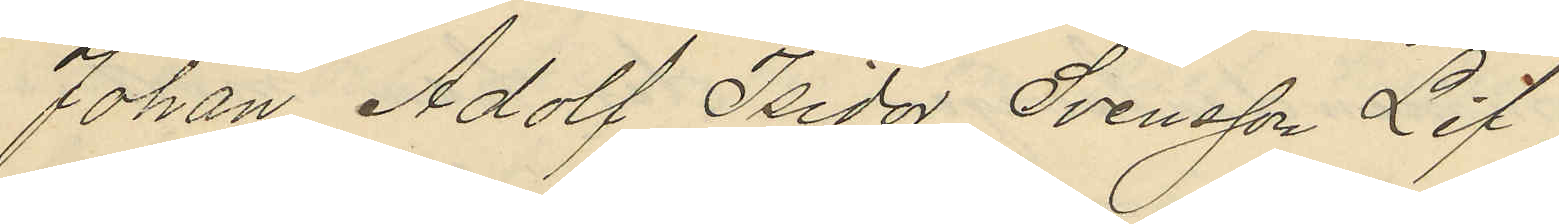Johan Adolf Isidor Svensson Lif,
